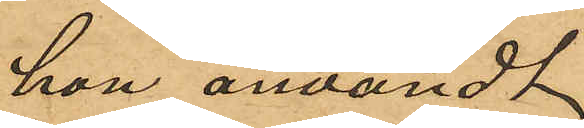hon användt.
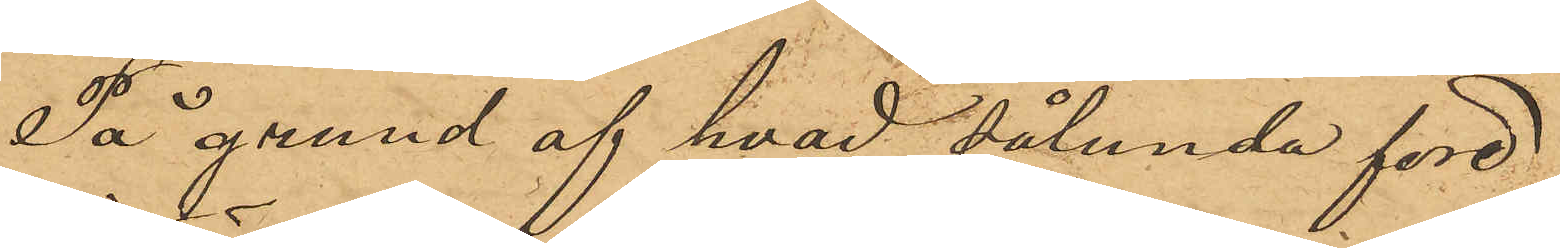På grund af hvad sålunda före¬
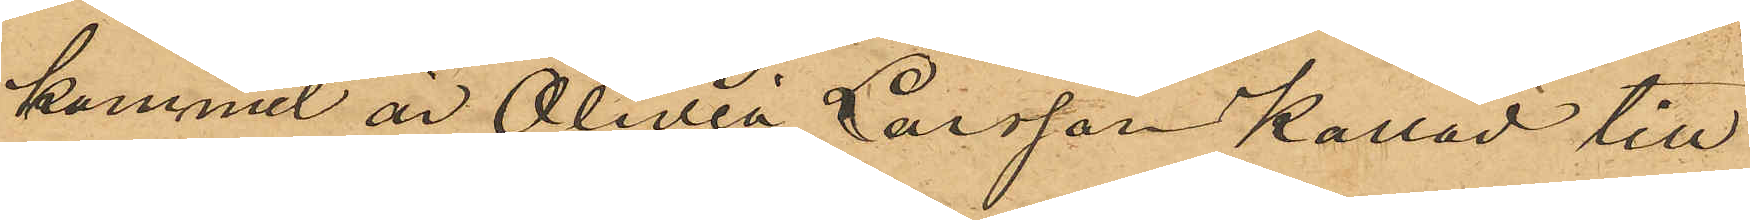kommit är Olivia Larsson kallad till
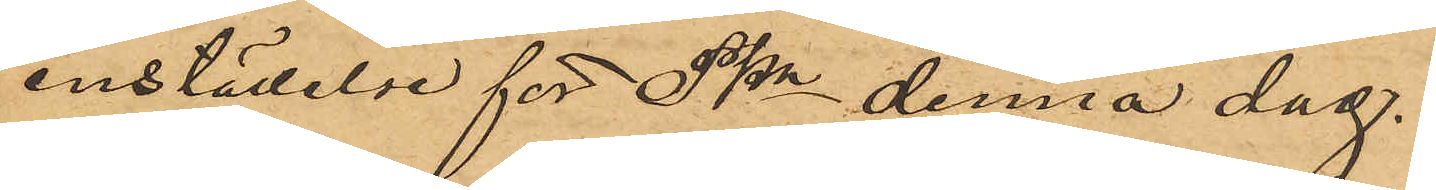inställelse för Pkn denna dag.
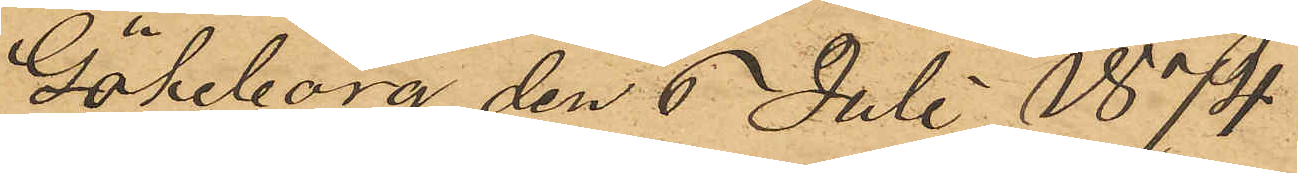Göteborg den 6 Juli 1874
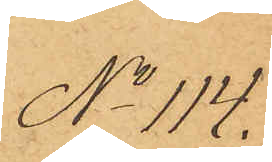No 114.
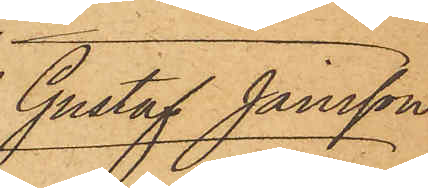 Gustaf Jonsson
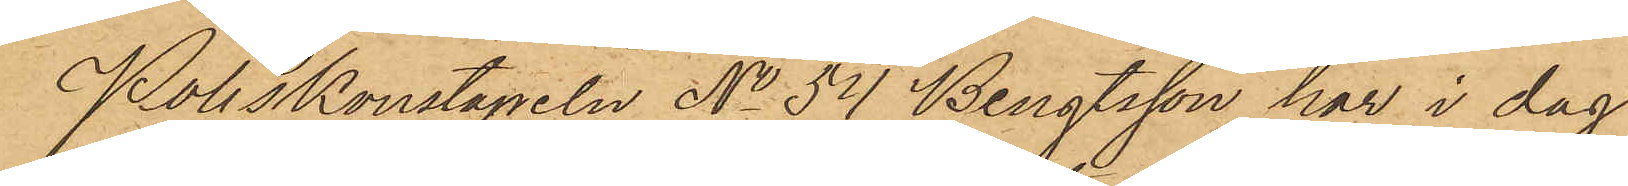Poliskonstapeln No 54 Bengtsson har i dag
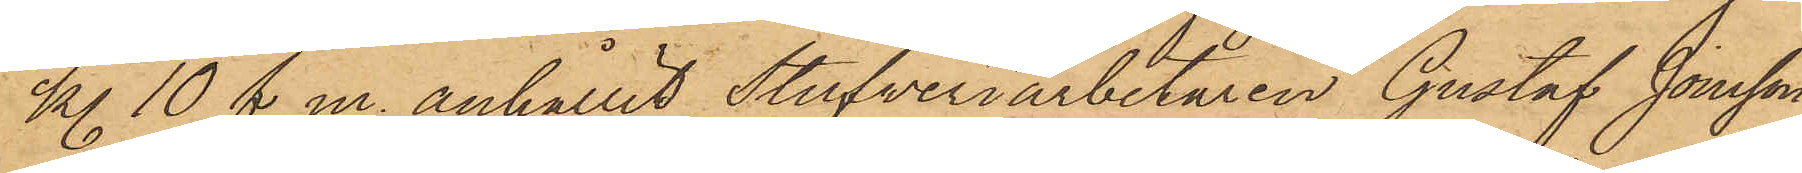kl. 10 f. m. anhållit Stufveriarbetaren Gustaf Jonsson
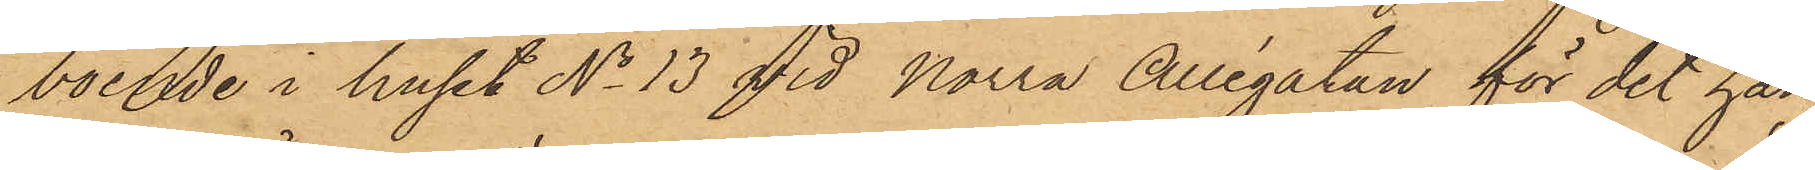boende i huset No 13 vid Norra Allégatan för det han
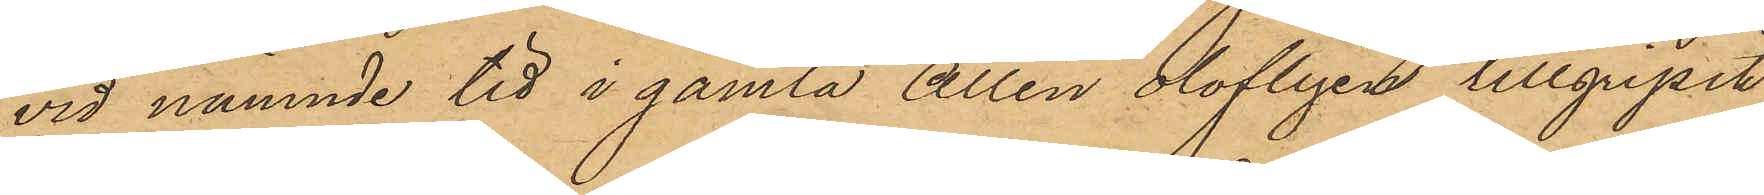vid nämnde tid i gamla Allén olofligen tillgripit
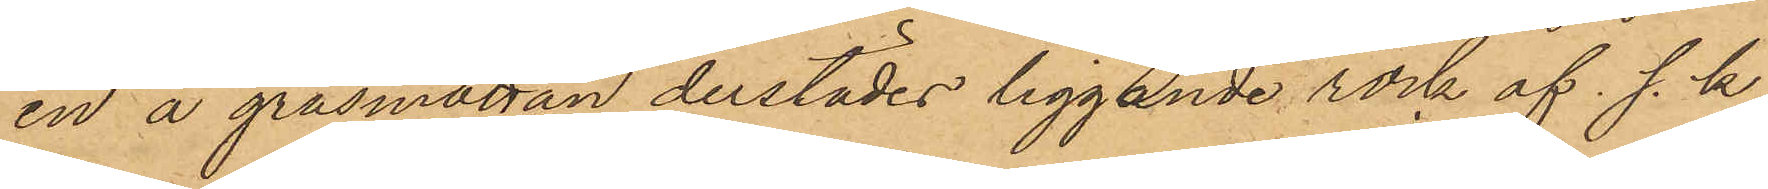en å gräsmattan derstädes liggande rock af s. k.
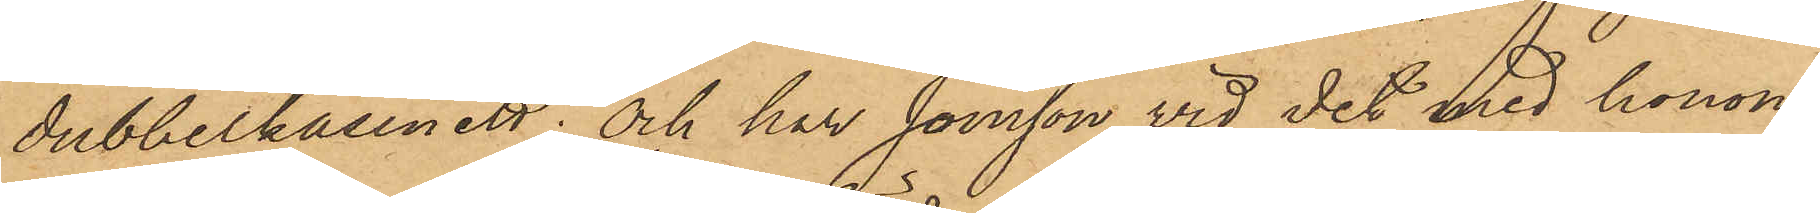dubbelkassinett; och har Jonsson, vid det med honom
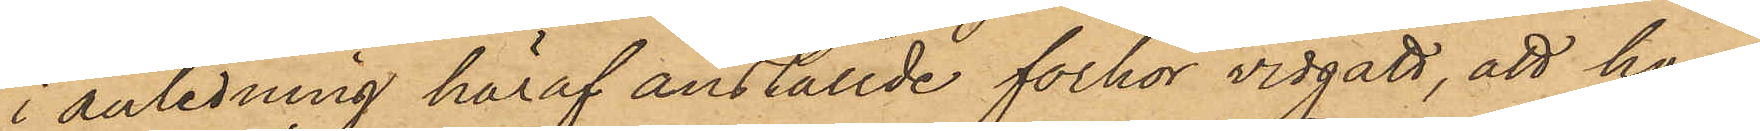i anledning häraf anställde förhör vidgått, att han
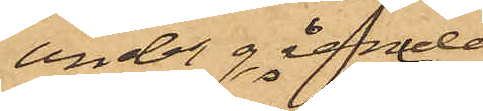under gående
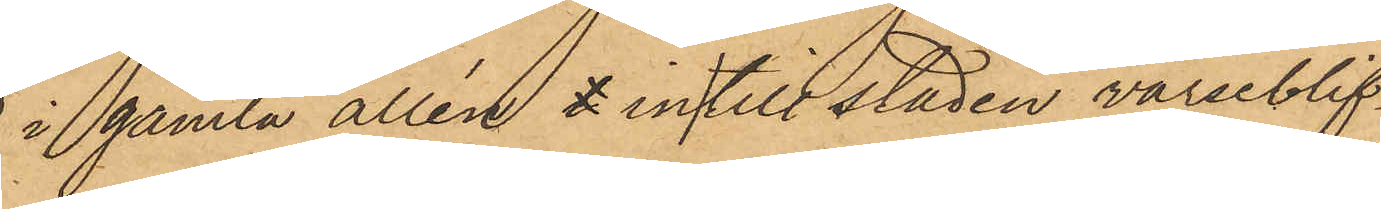i gamla allén in till staden varseblif¬
